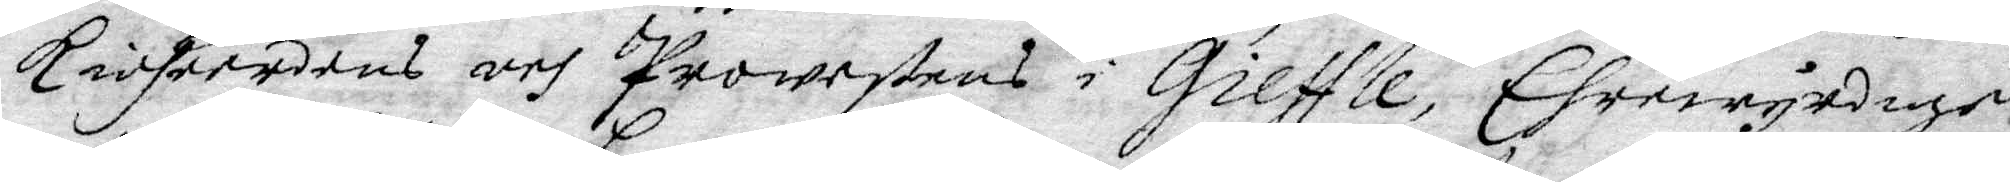kioherdens och Prowetsens i Gieffle, Ehrewyrdige
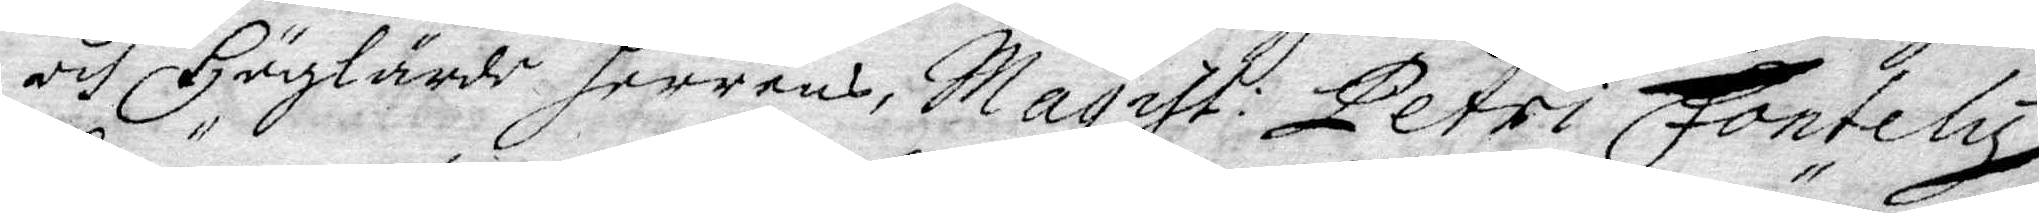och Höglärde Herrens, Magist: Petri Fontely
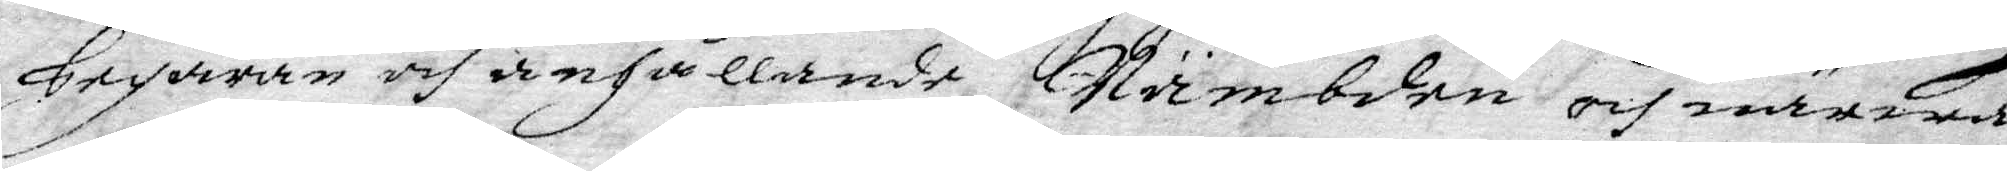begäran och anhållande Nämbden och närwa¬
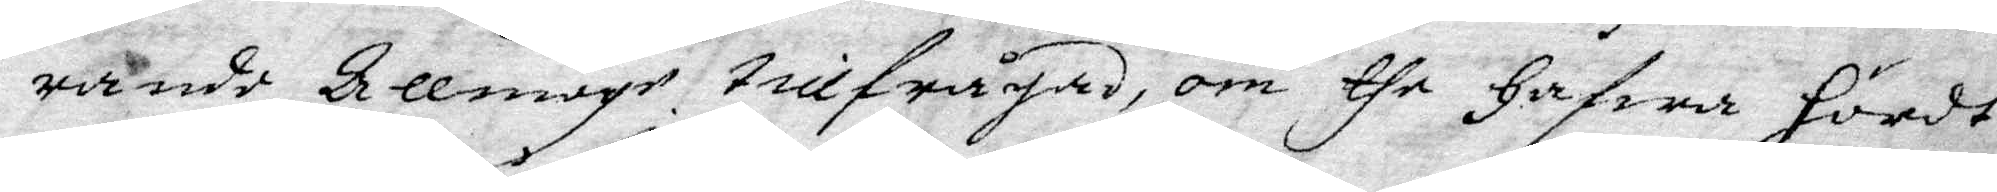rande Allmoge tillfrågad, om the Hafwa hördt
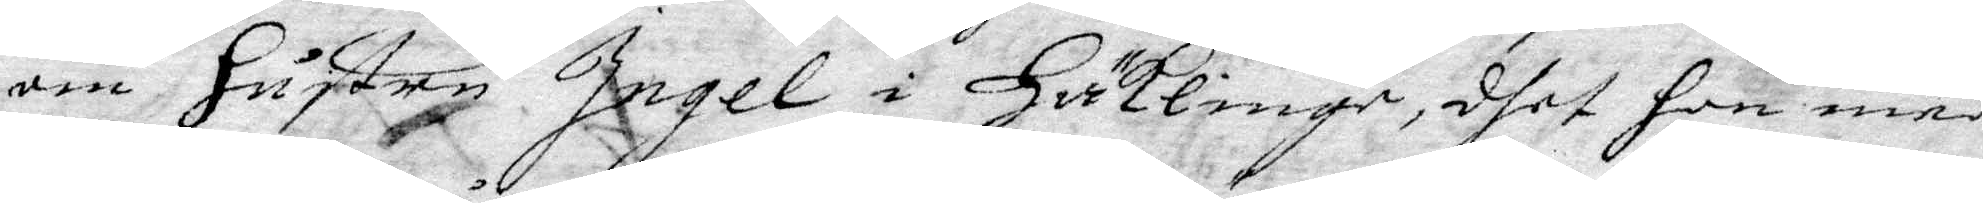om Hustru Ingel i Häkline, dhet hon med
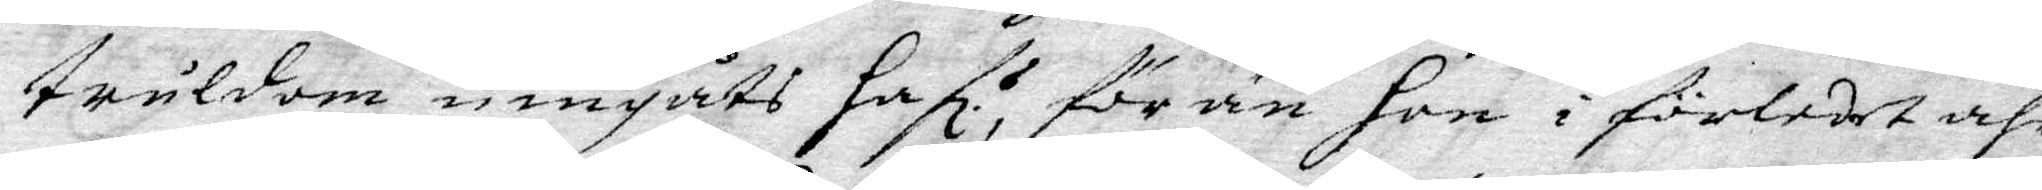truldom umgåts hafl. för än Hon i förledet åhr
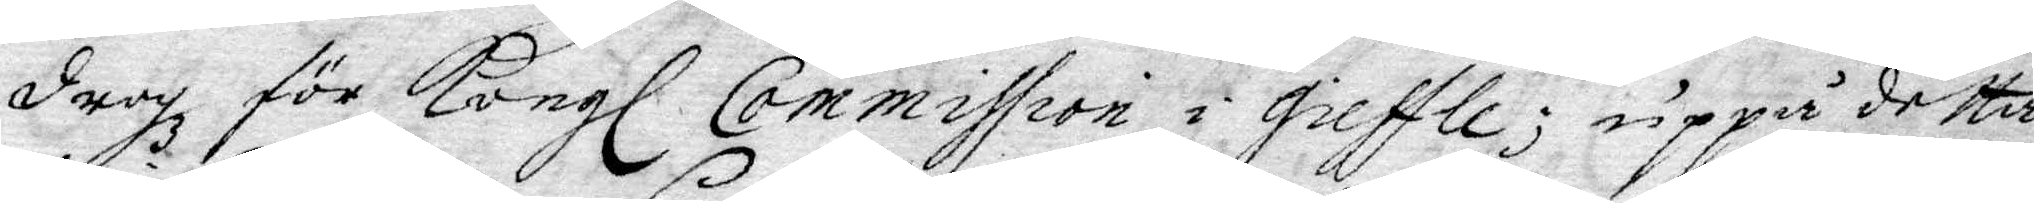drogz för Kongl Commission i Gieffle; uppå detta
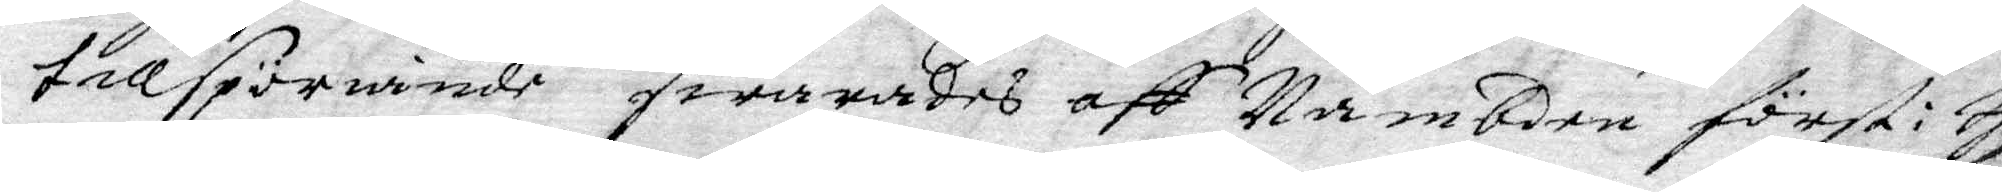tillspöriande swarades aff Nämbden föst i s
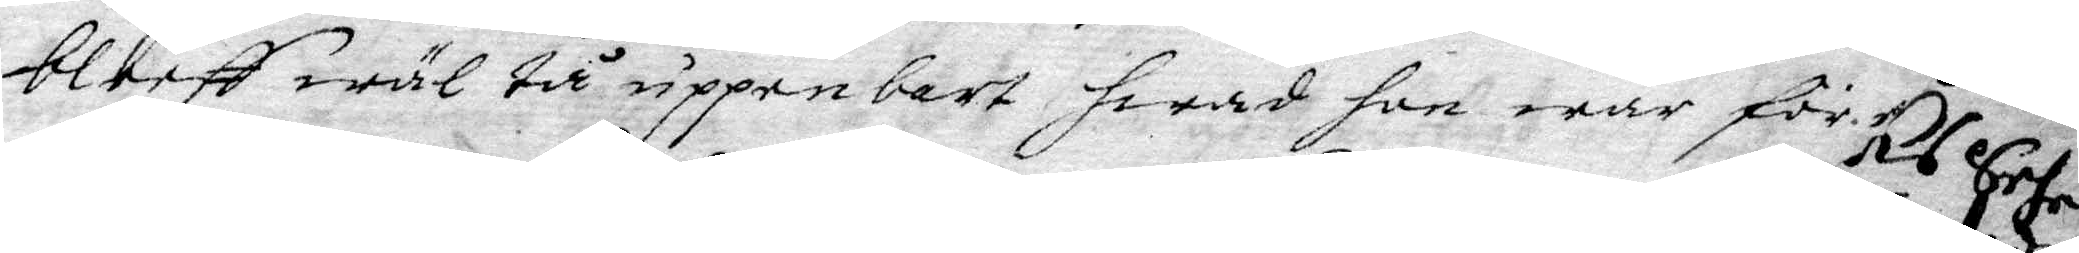bleff wäl tå uppenbart hwad hon war för
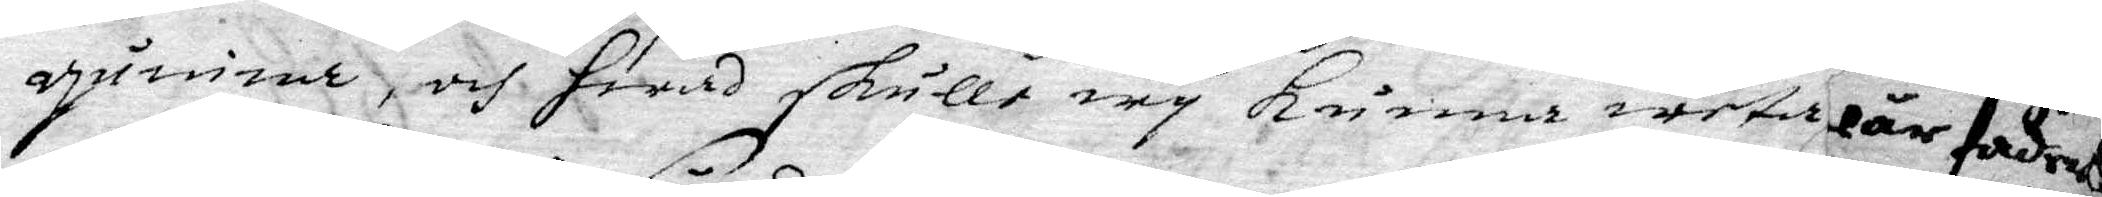quinna, och Hwad skulle wy kunna weta
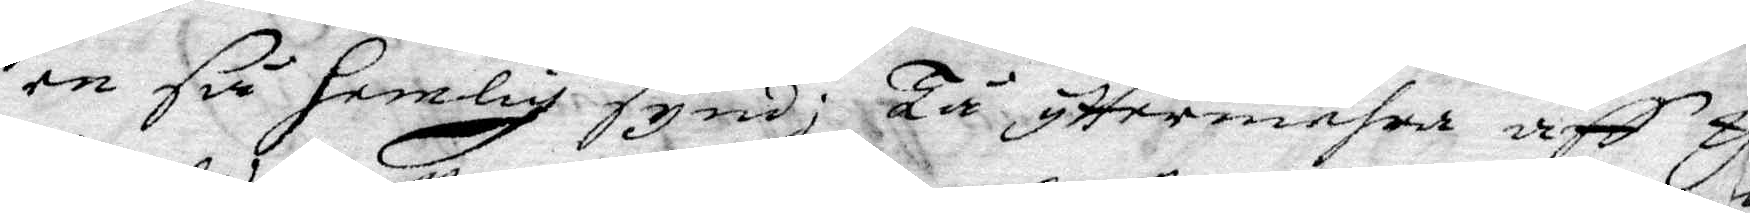en så hemlig synd; Tå yttermehra aff y
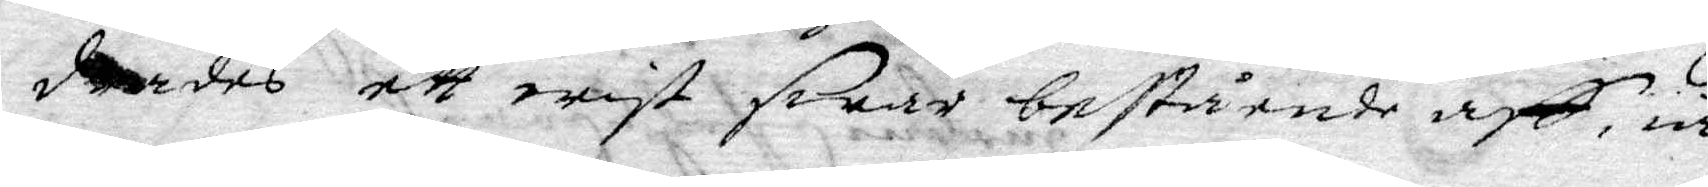derdes ett wist swar bestående aff w
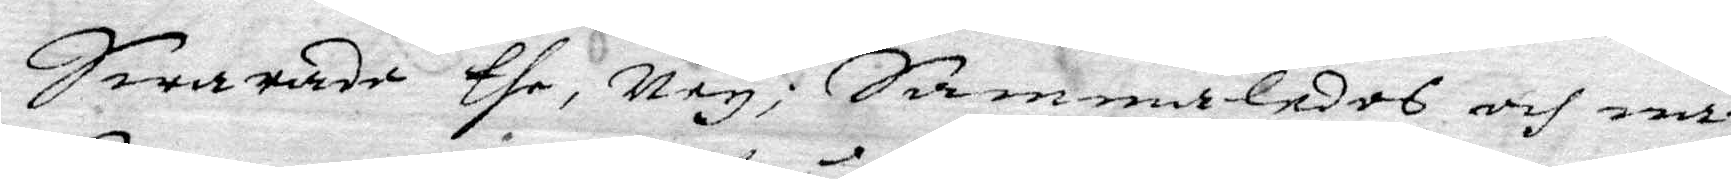Swarade the, ney, Sammaledes och när
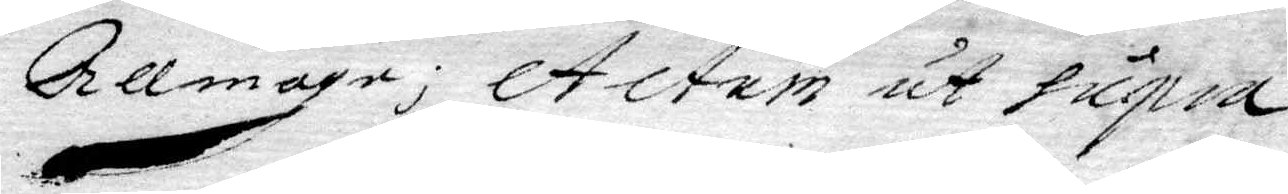Allmoge; Actum ut supra
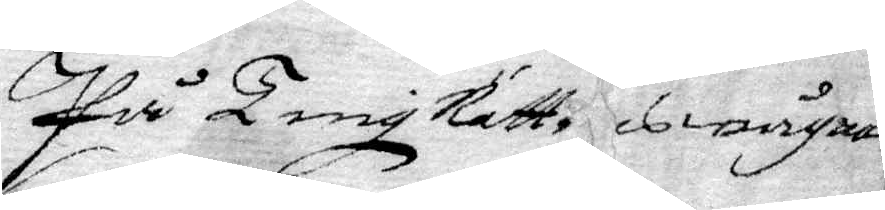På TingRätt. wägnar
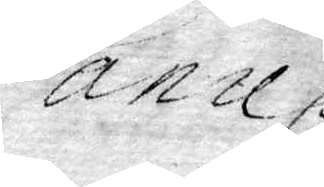Danil
